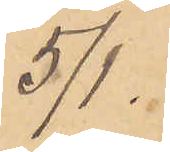5/1.
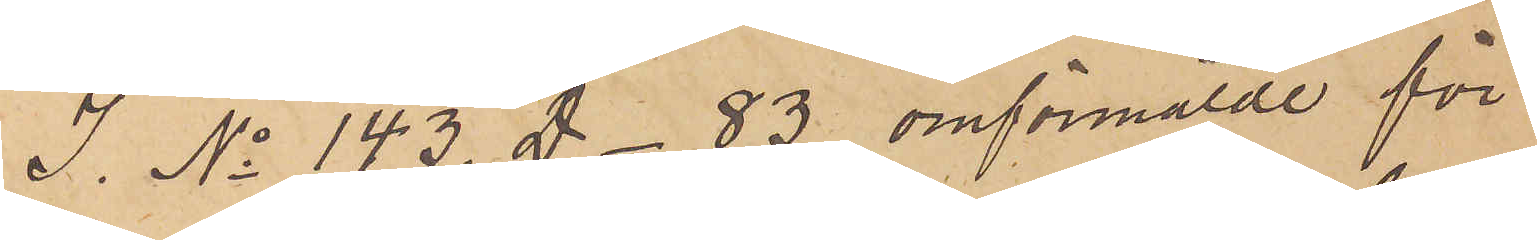I. No 143. D - 83. omförmälde för
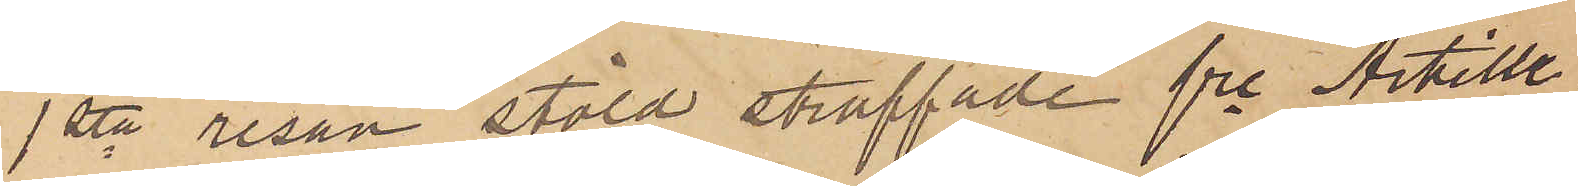1sta resan stöld straffade fre Artille¬
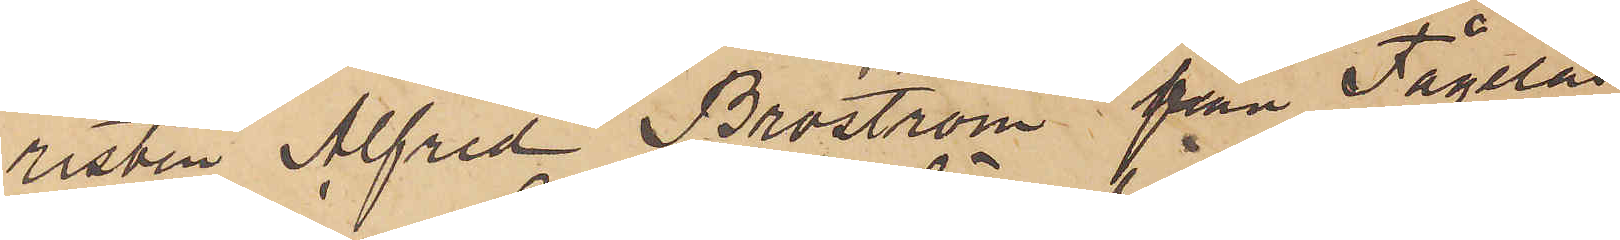risten Alfred Broström från Fågelås
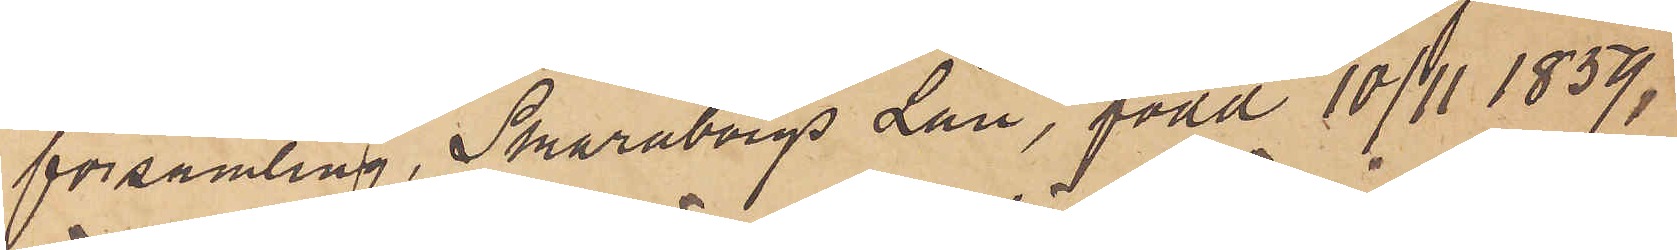församling, Skaraborgs Län, född 10/11 1859,
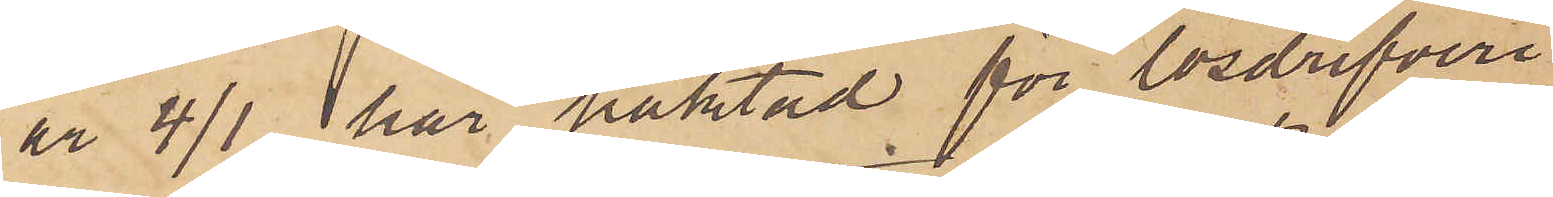är 4/1 här häktad för lösdrifveri
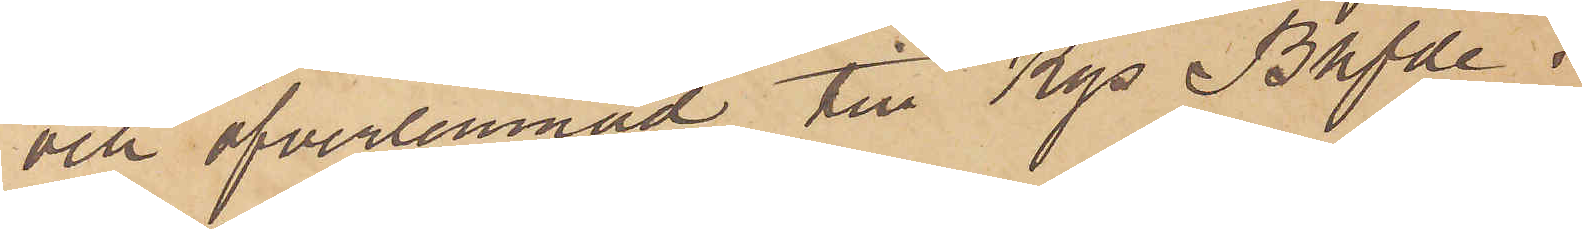och öfverlemnad till Kgs Bhfde i
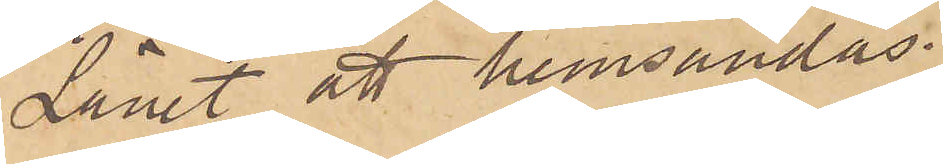Lånet att hemsändas.
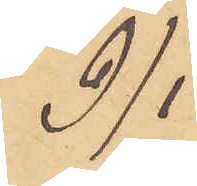9/1
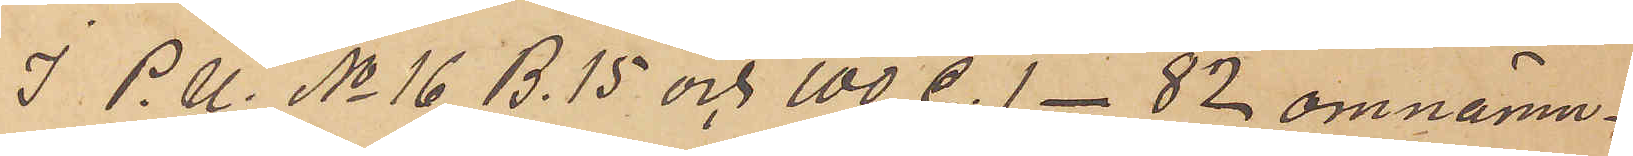I P. U. No 16 B. 15 och 100 C. 1 - 82 omnämn¬
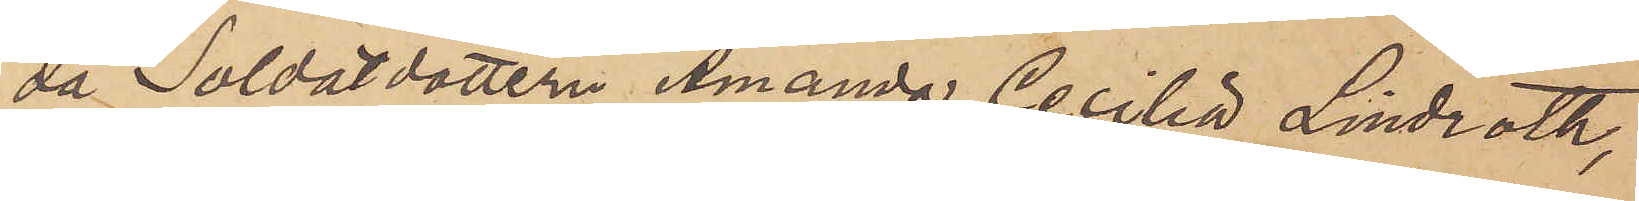da Soldatdottern Amanda Cecilia Lindroth,
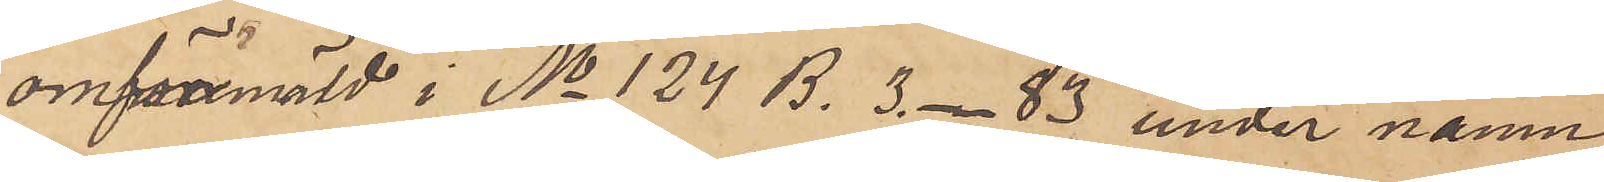omförmäld i No 124 B. 3 - 83 under namn
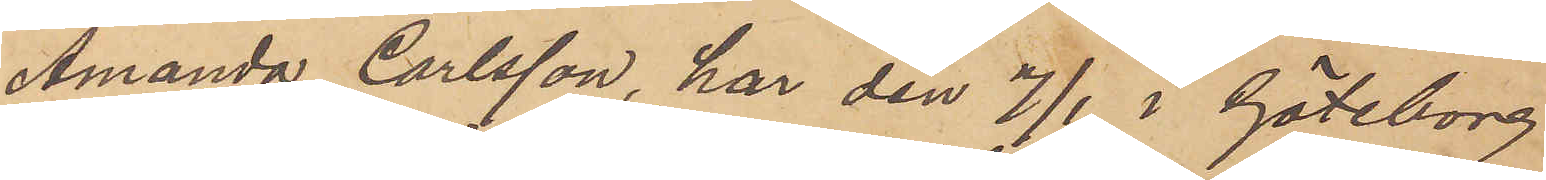Amanda Carlsson, har den 7/1 i Göteborg
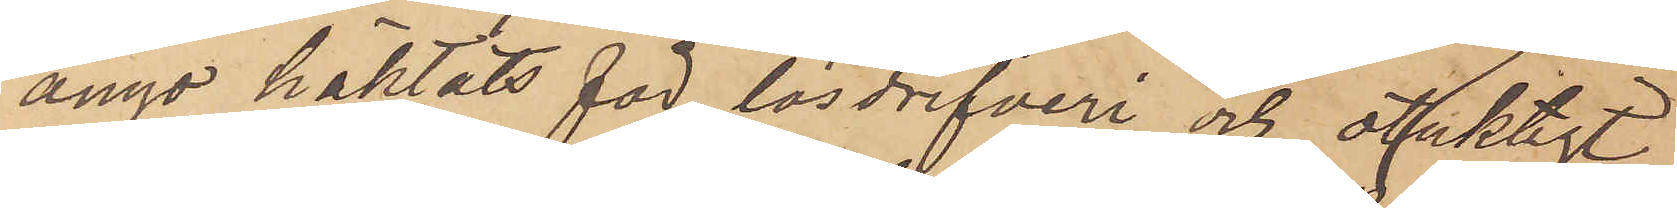ånyo häktats för lösdrifveri och otuktigt
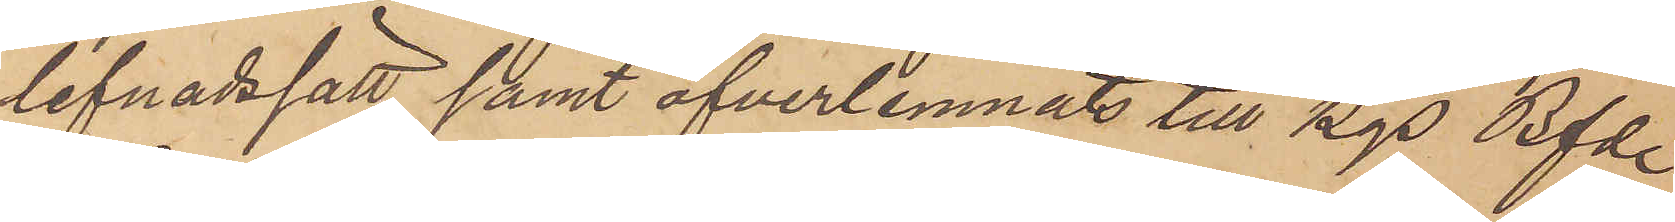lefnadssätt samt öfverlemnats till Kgs Bfde
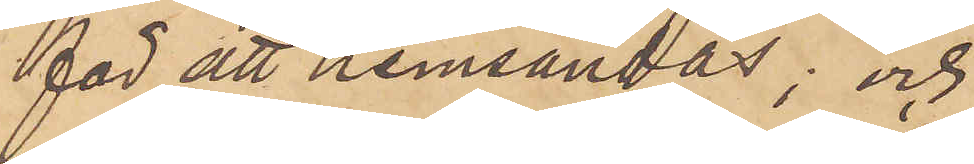för att hemsändas; och
